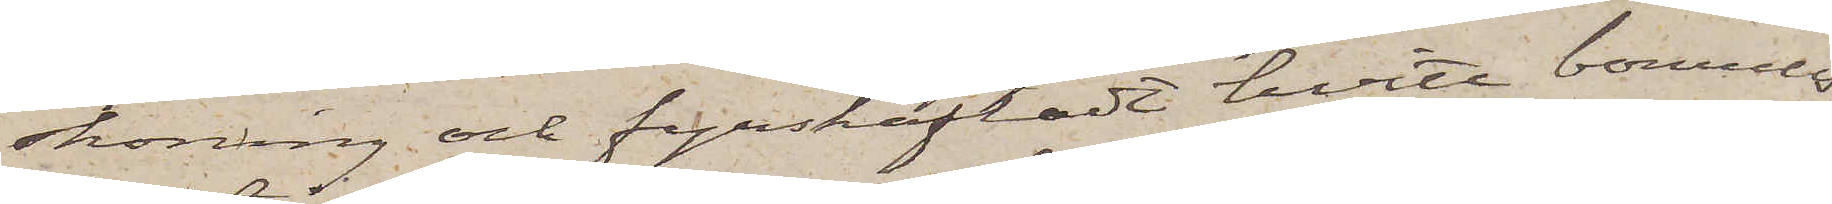skoning och fyrskäftadt hvitt bomulls¬
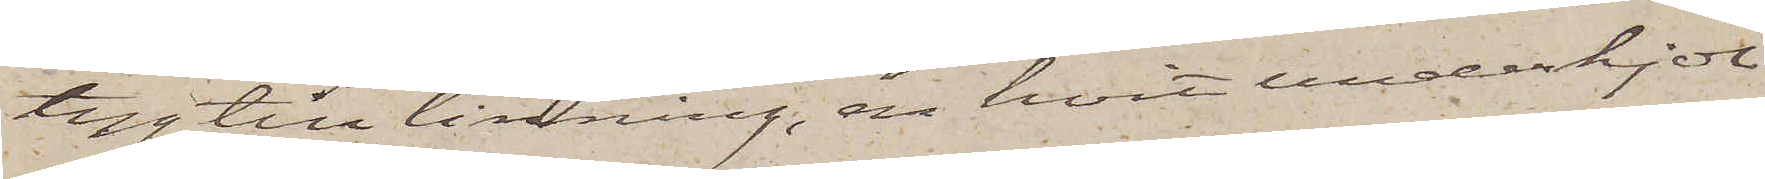tyg till linning, en hvit underkjol
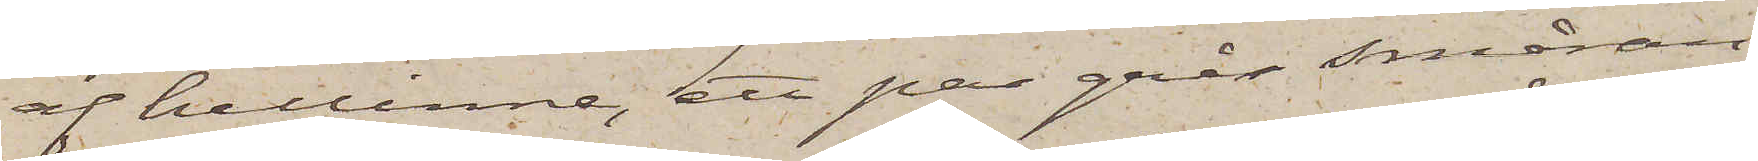af hellinne, ett par grå småran¬
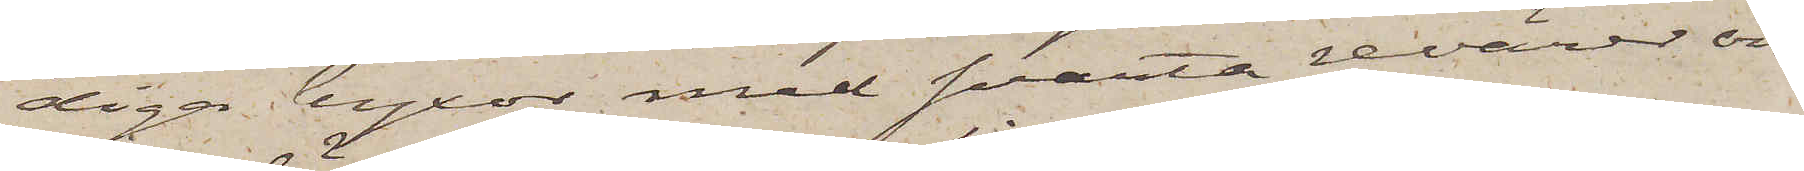diga byxor med svarta revärer och
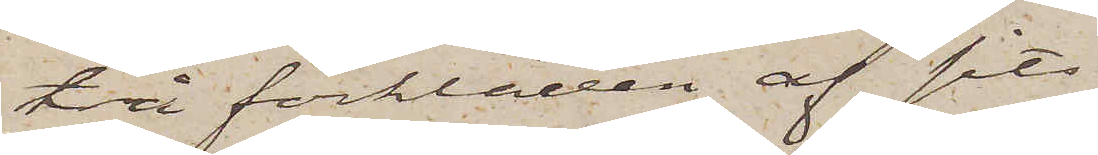två förkläden af sits
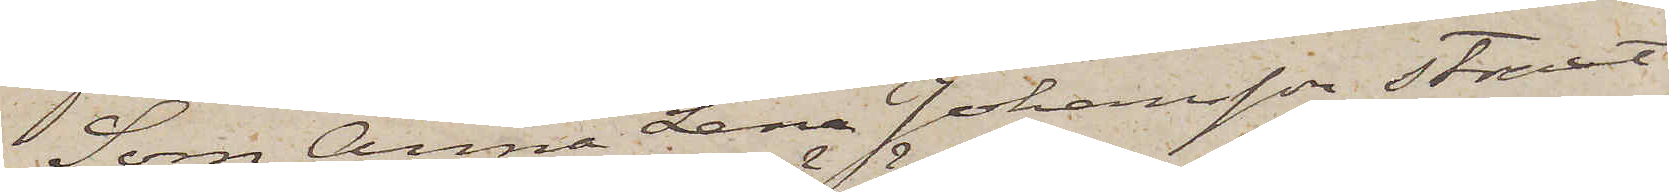Som Anna Lena Johansson straxt
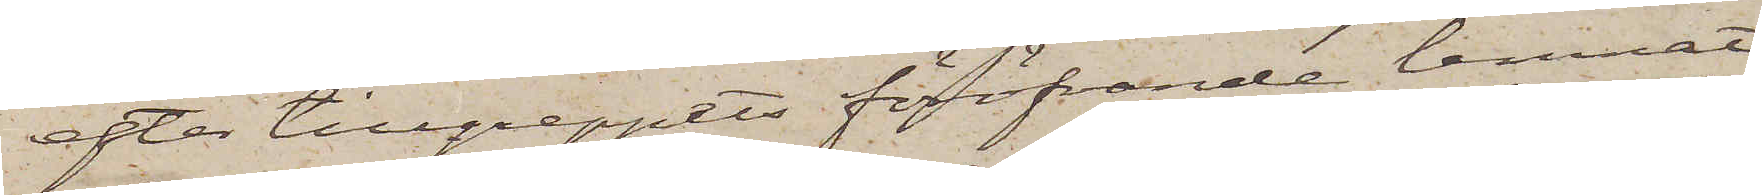efter tillgreppets föröfvande lemnat
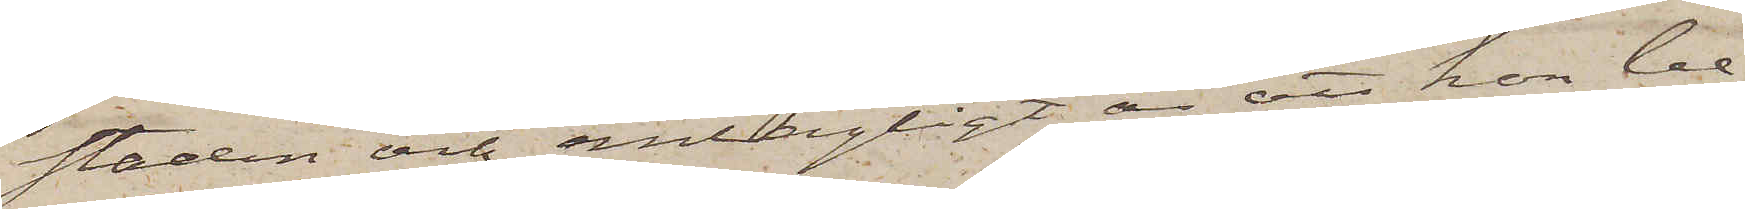staden och antagligt är att hon be¬
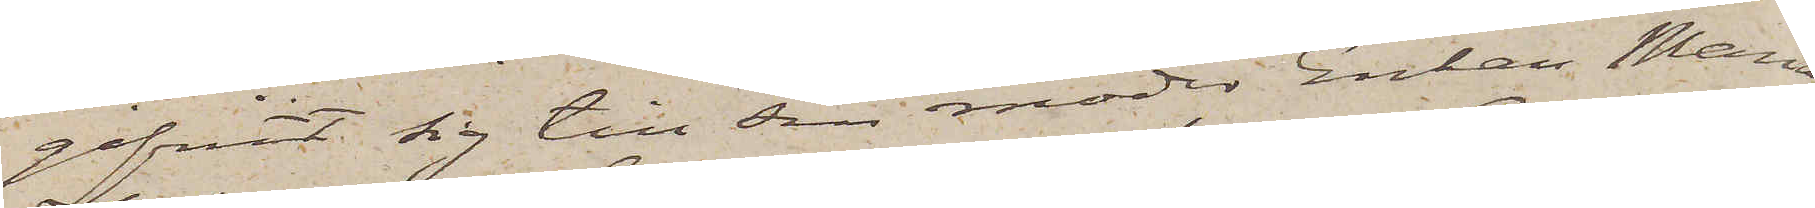gifvit sig till sin moder Enkan Maria
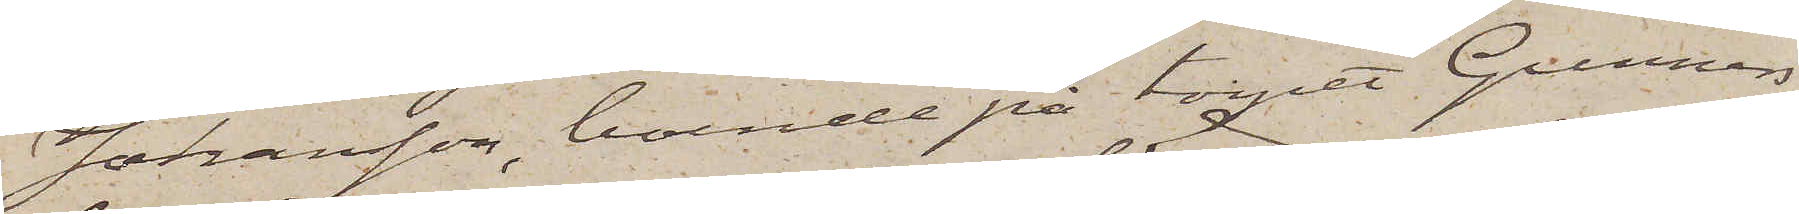Johansson, boende på torpet Gunnars¬
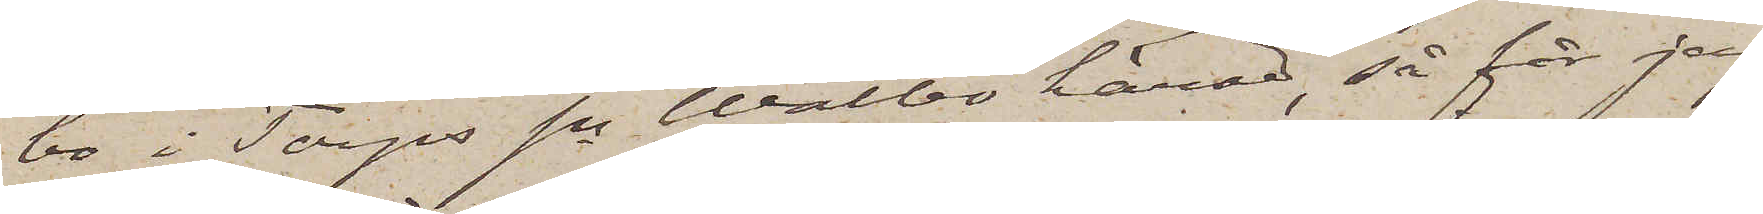bo i Torps sn Walbo härad, så får jag
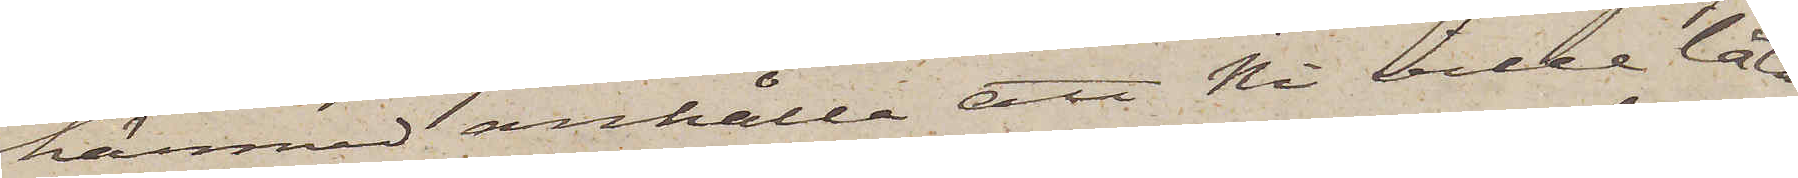härmed anhålla att Ni ville låta
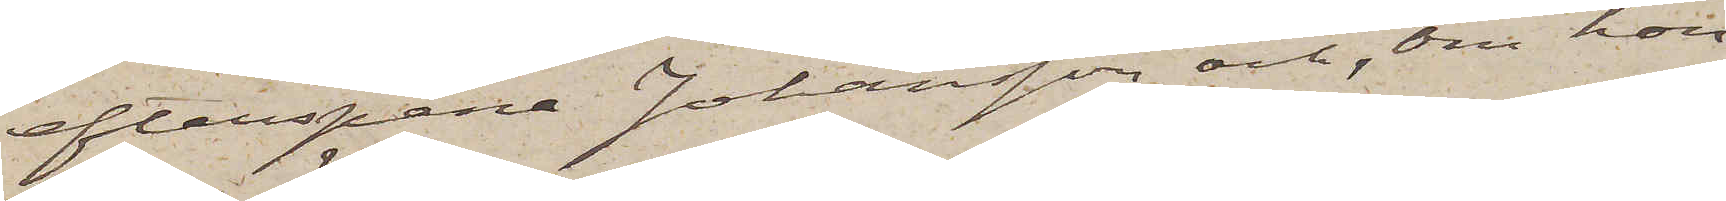efterspana Johansson och, om hon
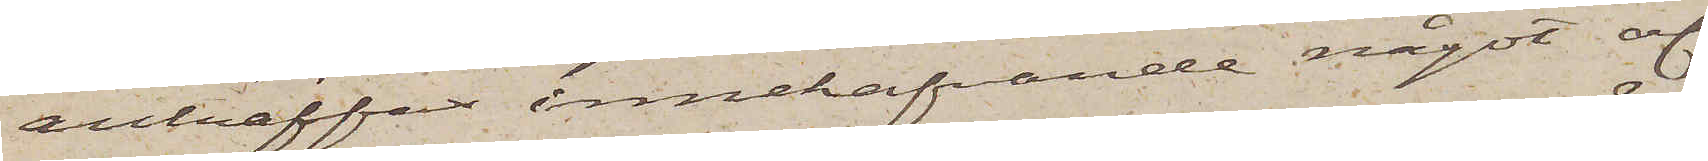anträffas innehafvande något af
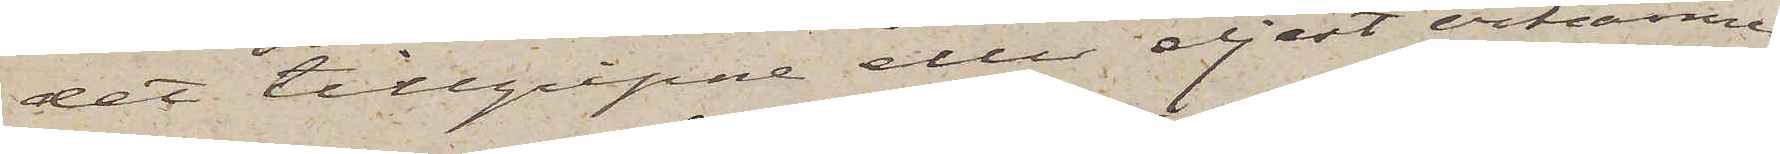det tillgripne eller eljest erkänner
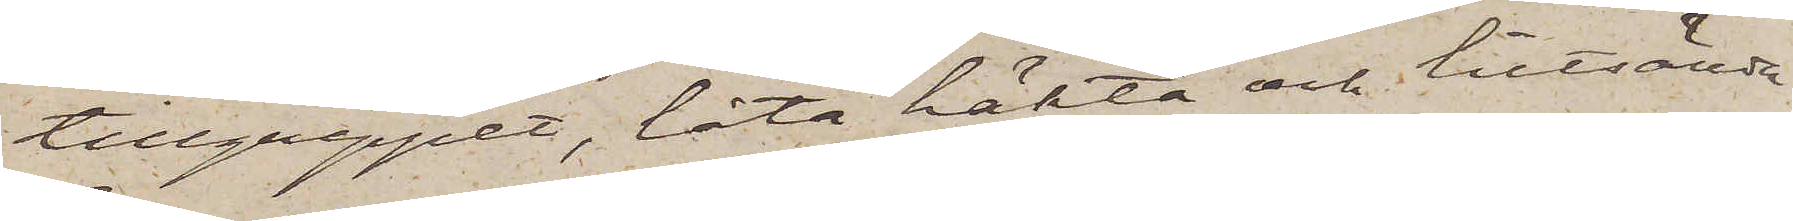tillgreppet, låta häkta och tillsända
